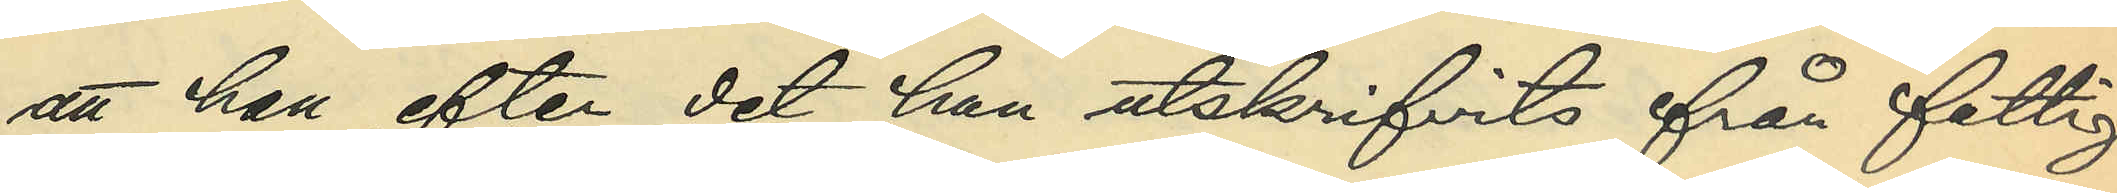att han efter det han utskrifvits från fattig¬
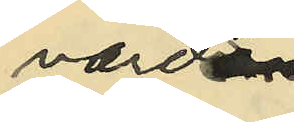vårds¬
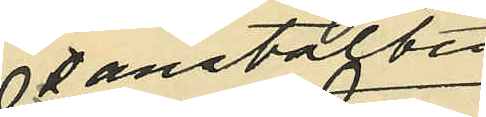anstalten
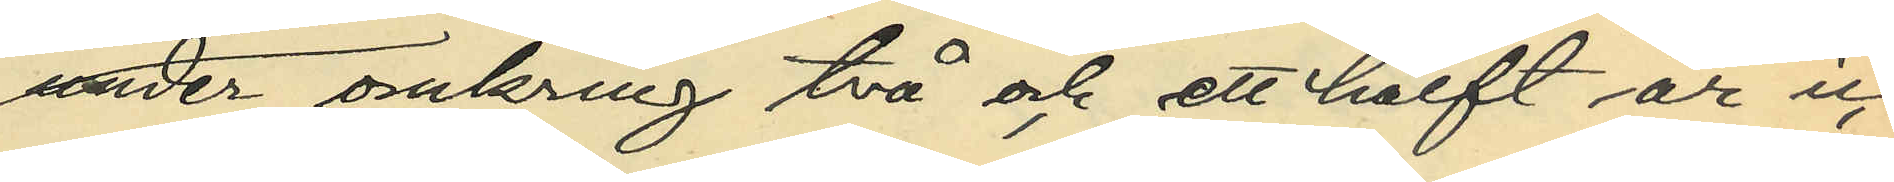under omkring två och ett halft år ic¬
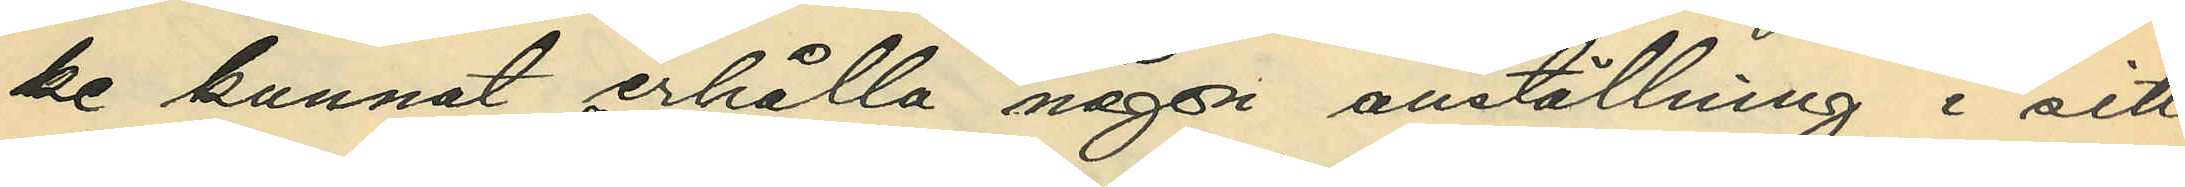ke kunnat erhålla någon anställning i sitt
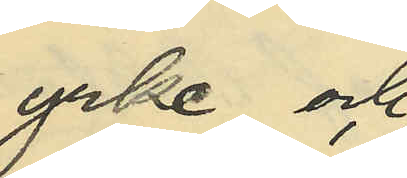yrke och 
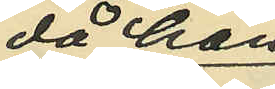då han
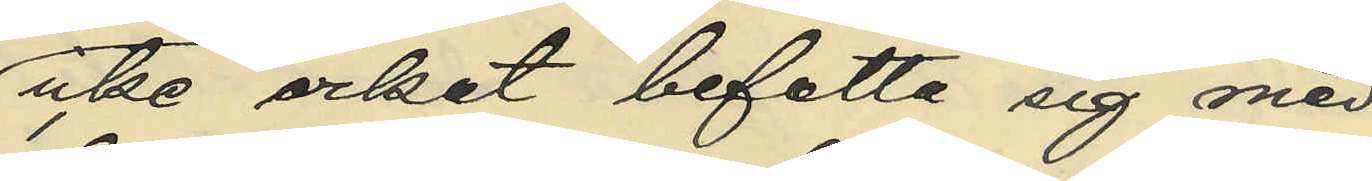icke orkat befatta sig med
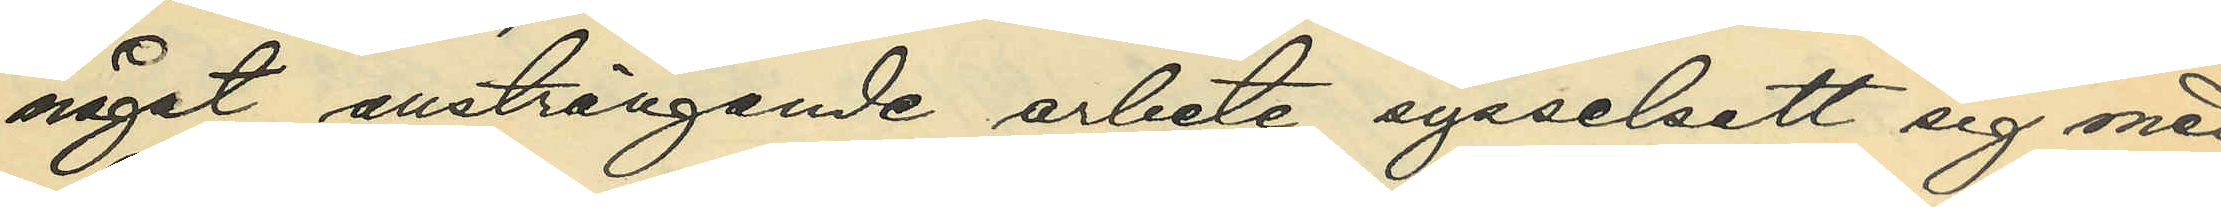något ansträngande arbete , sysselsatt sig med
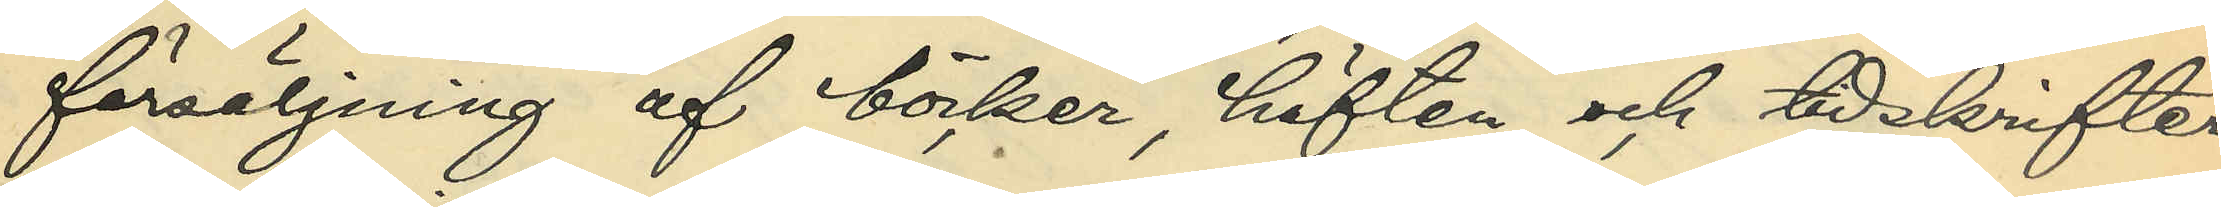försäljning af böcker, häften och tidskrifter
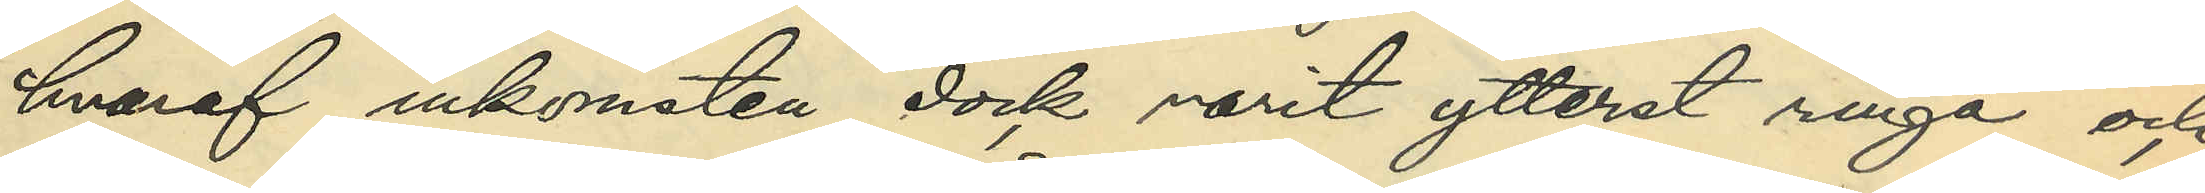hvaraf inkomsten dock varit ytterst ringa och
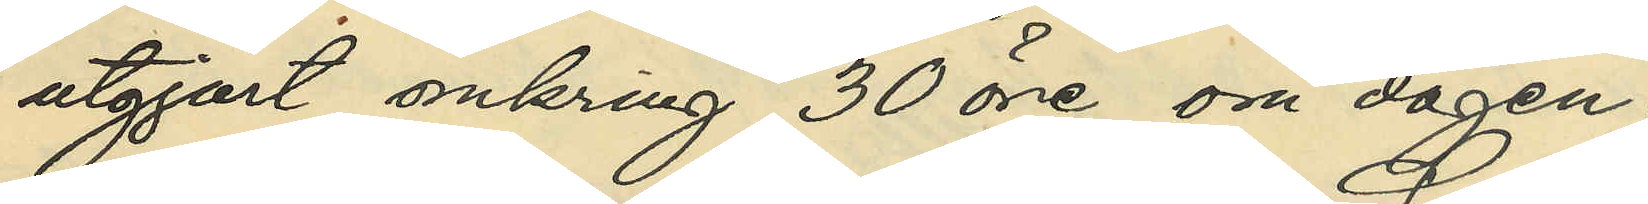utgjort omkring 30 öre om dagen;
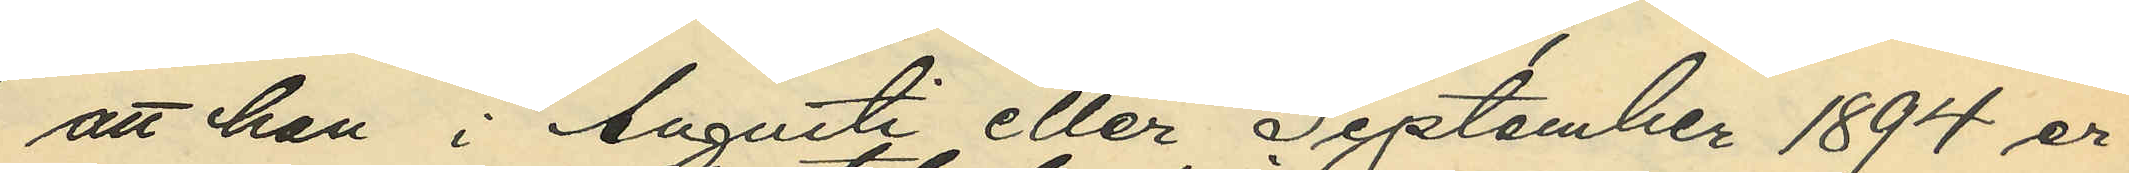att han i Augusti eller September 1894 er¬
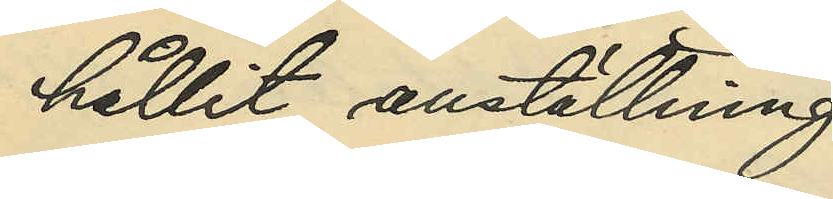hållit anställning
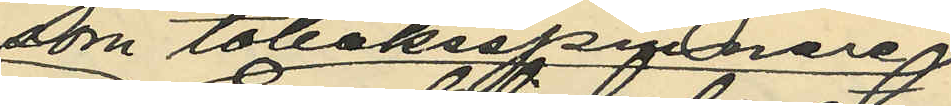som tobaksspinnare
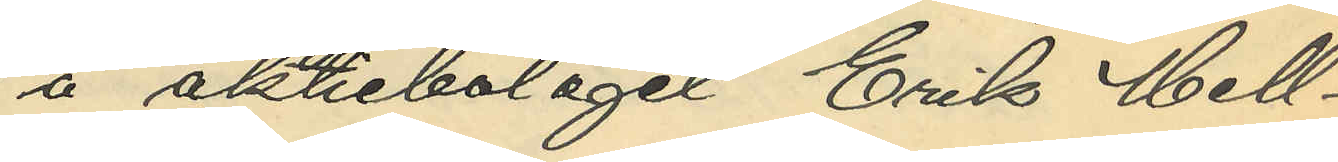å aktiebolaget Erik Mell¬
